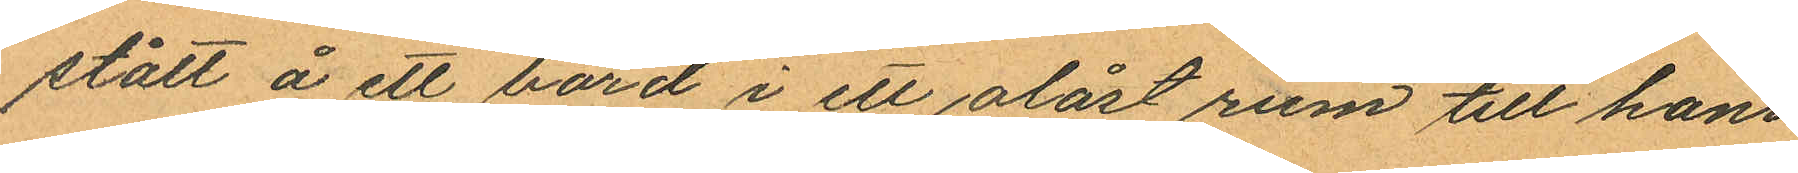stått å ett bord i ett olåst rum till hans
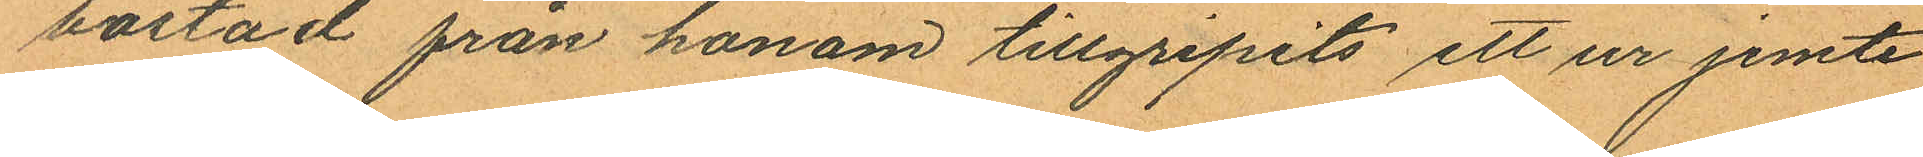bostad från honom tillgripits ett ur jemte
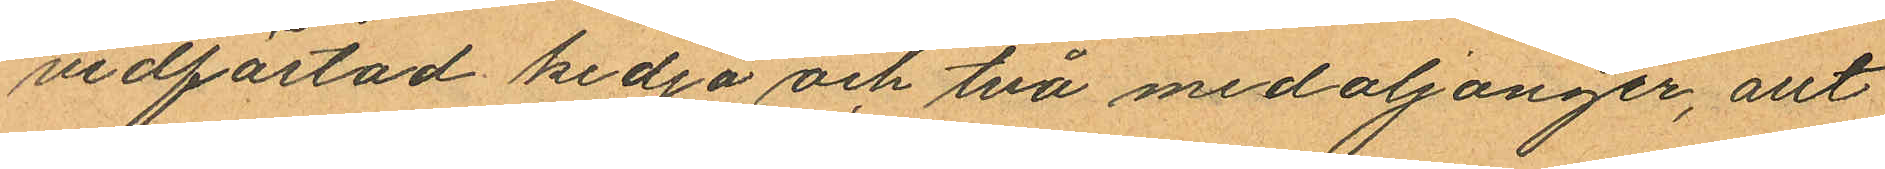vidfästad kedja och två medaljonger, allt
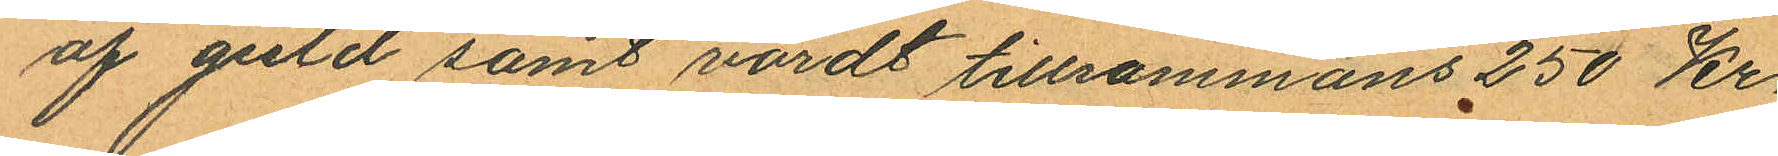af guld samt värdt tillsammans 250 Kr.
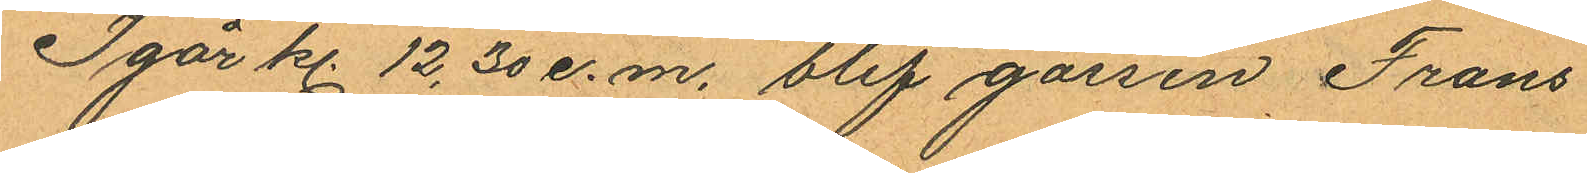Igår kl. 12.30 e.m. blef gossen Frans
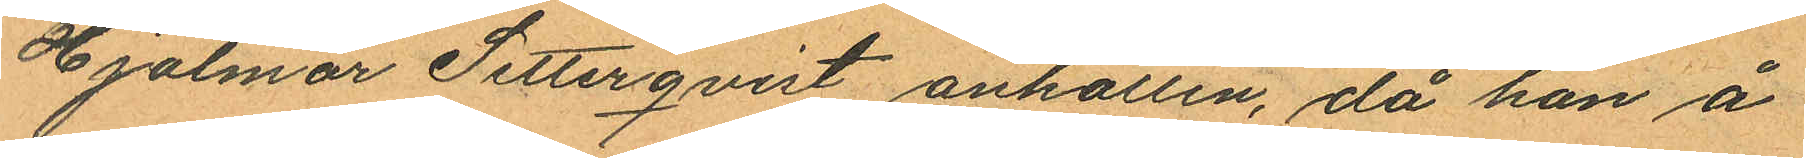Hjalmar Setterqvist anhållen, då han å
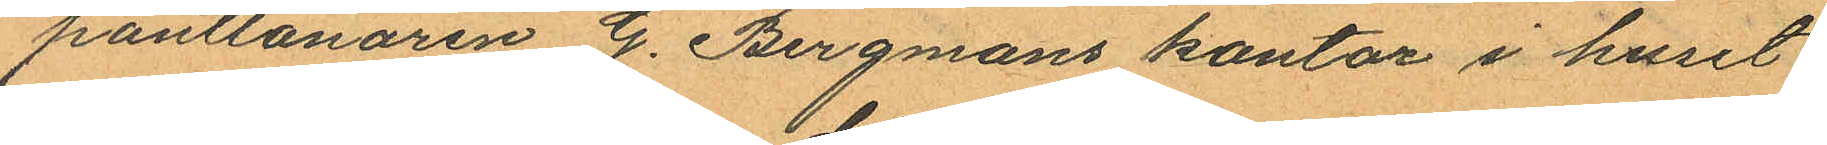pantlånaren G. Bergmans kontor i huset
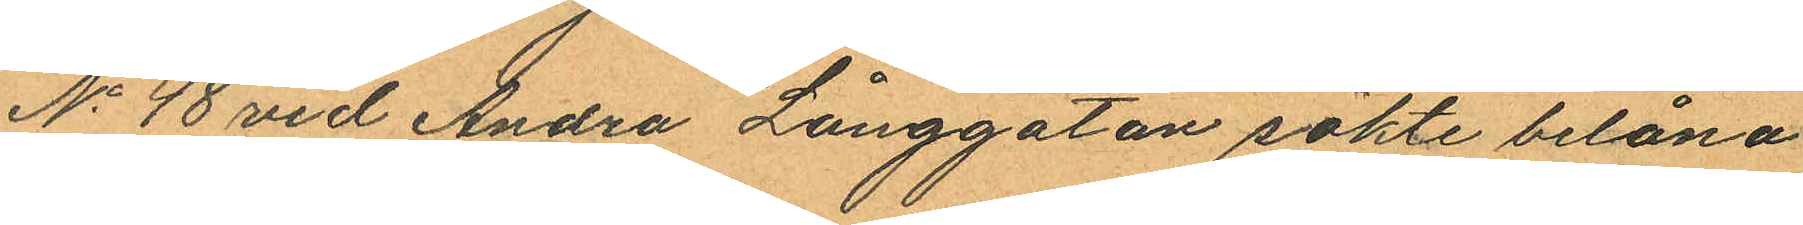No 48 vid Andra Långgatan sökte belåna
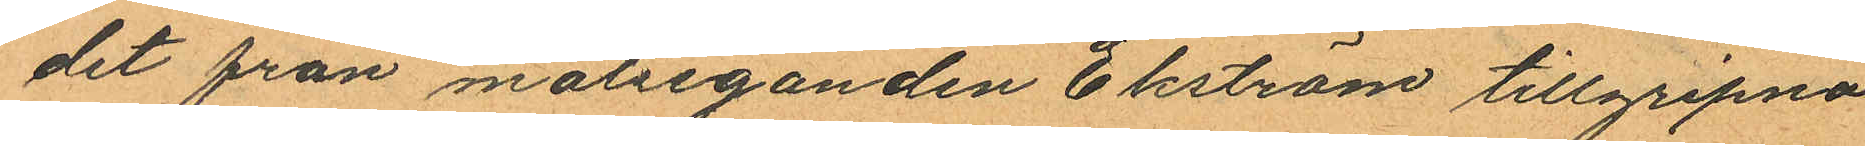det från målseganden Ekström tillgripna
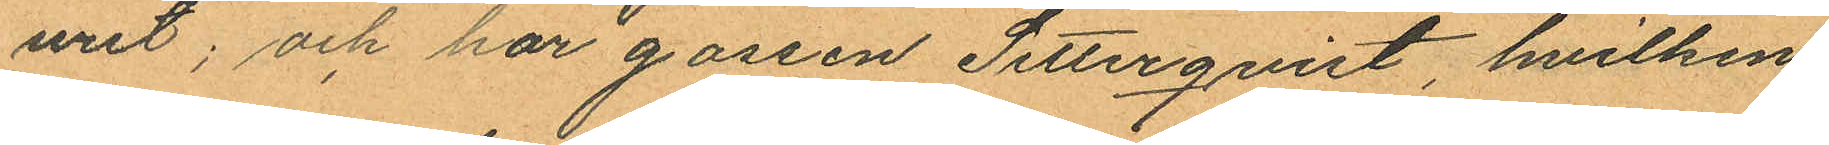uret; och har gossen Setterqvist, hvilken
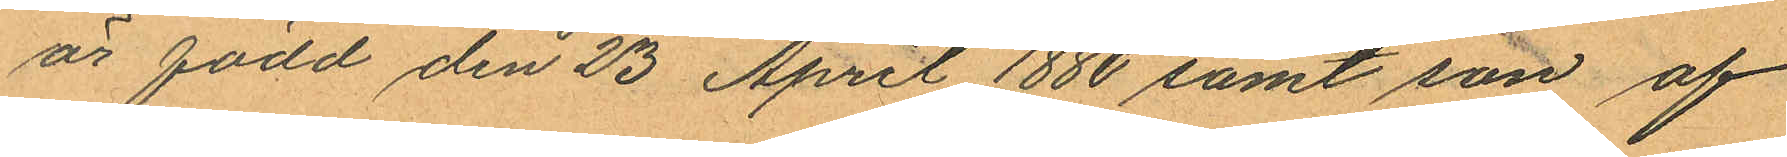är född den 23 April 1880 samt son af
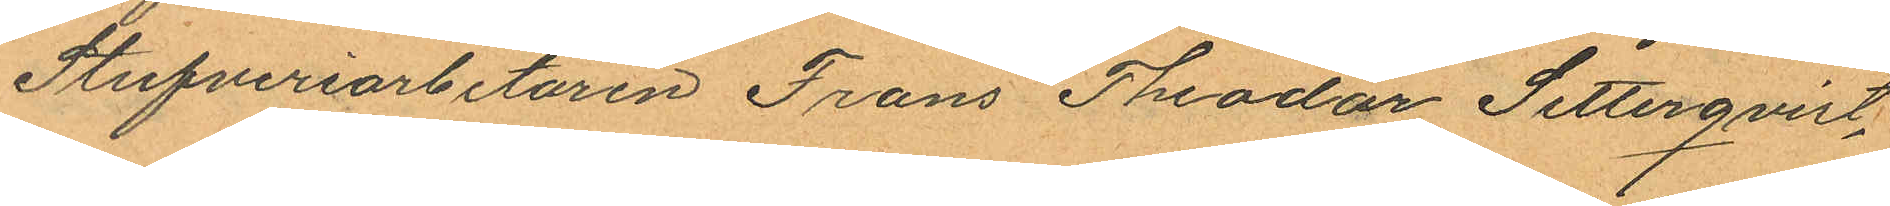Stufveriarbetaren Frans Theodor Setterqvist,
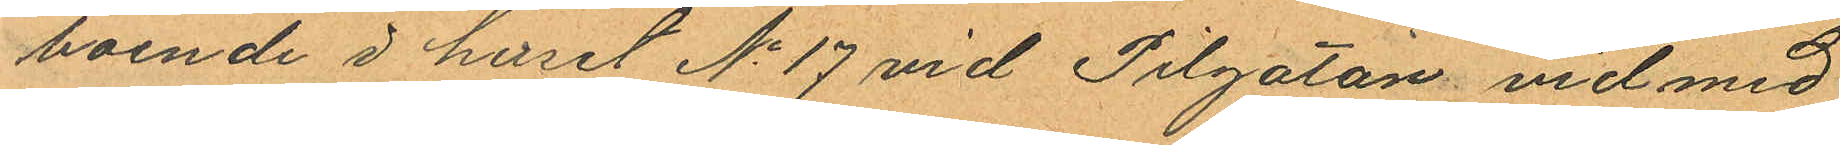boende i huset No 17 vid Pilgatan vid med
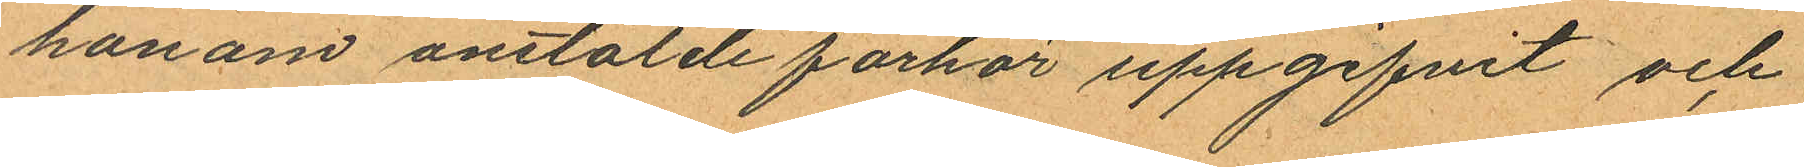honom anstälde förhör uppgifvit och
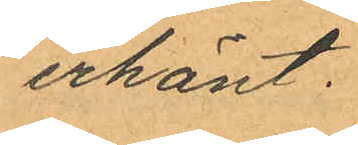erkänt.
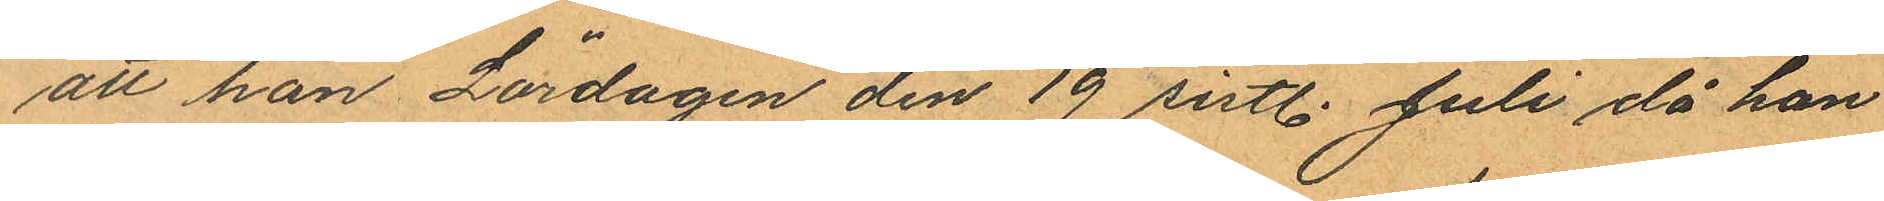att han Lördagen den 19 sistl. Juli då han
